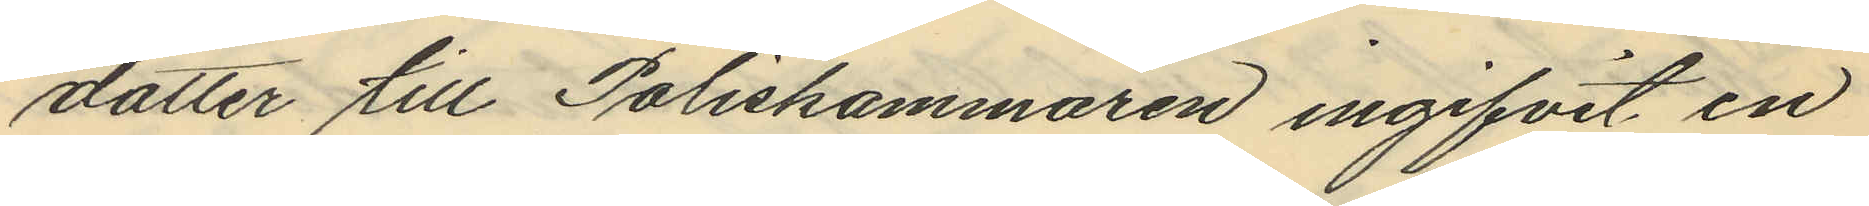dotter till Poliskammaren ingifvit en
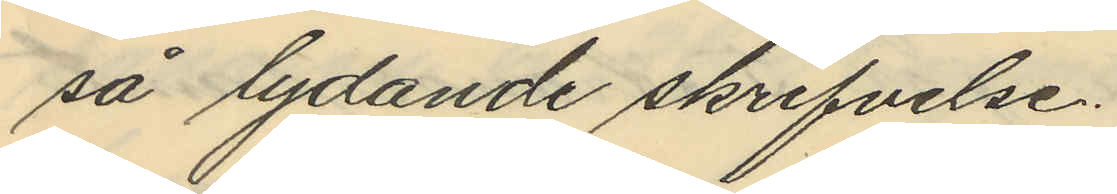så lydande skrifvelse.
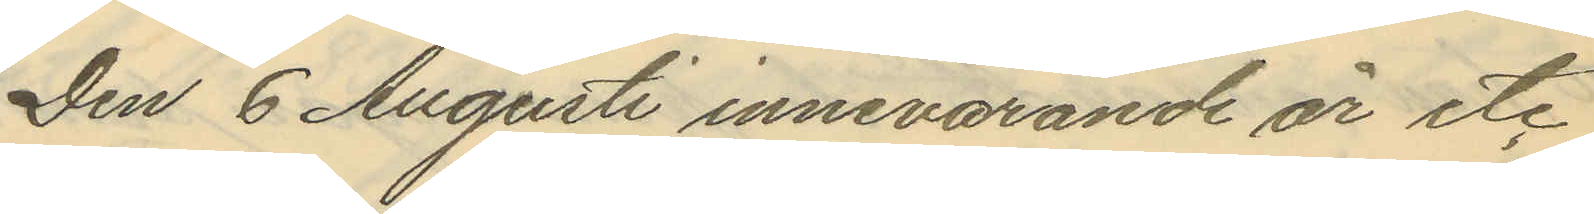Den 6 Augusti innevarande år etc
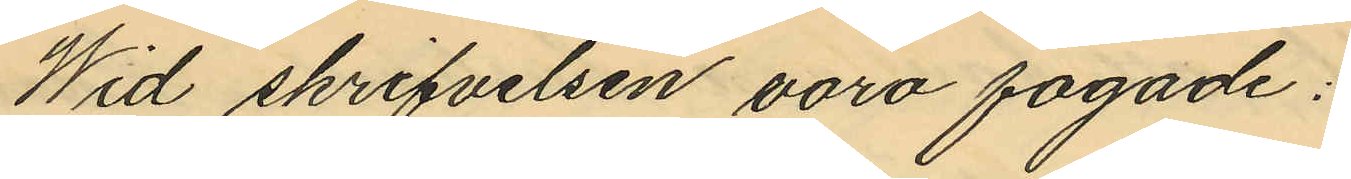Wid skrifvelsen voro fogade:
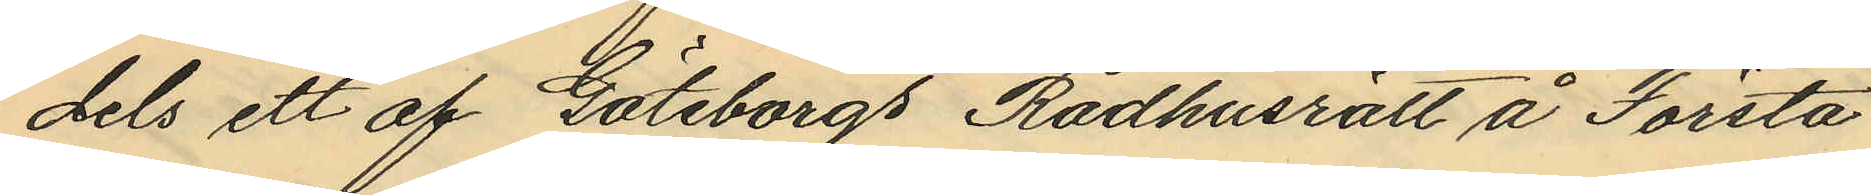dels ett af Göteborgs Rådhusrätt å Första
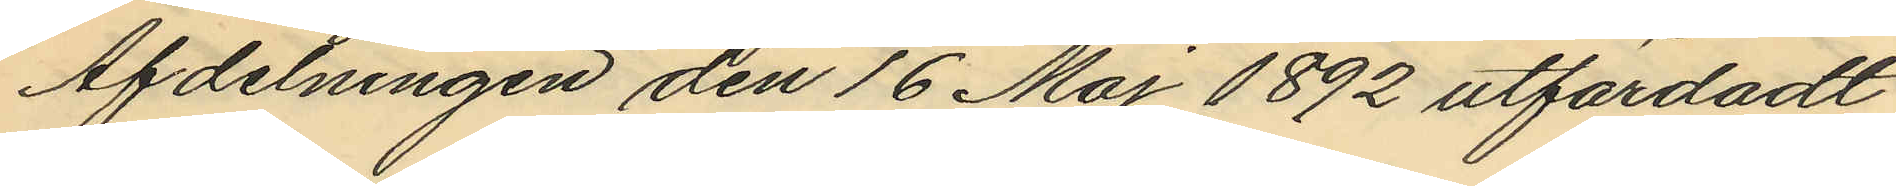Afdelningen den 16 Maj 1892 utfärdadt
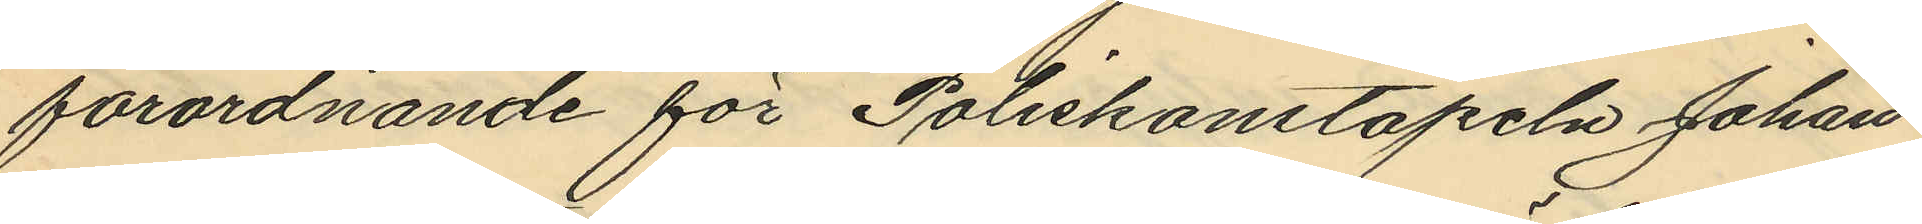förordnande för Poliskonstapeln Johan
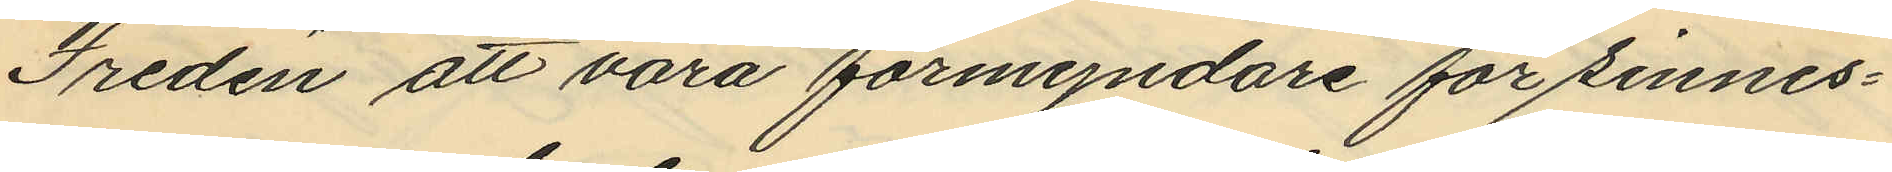Treden att vara förmyndare för sinnes¬
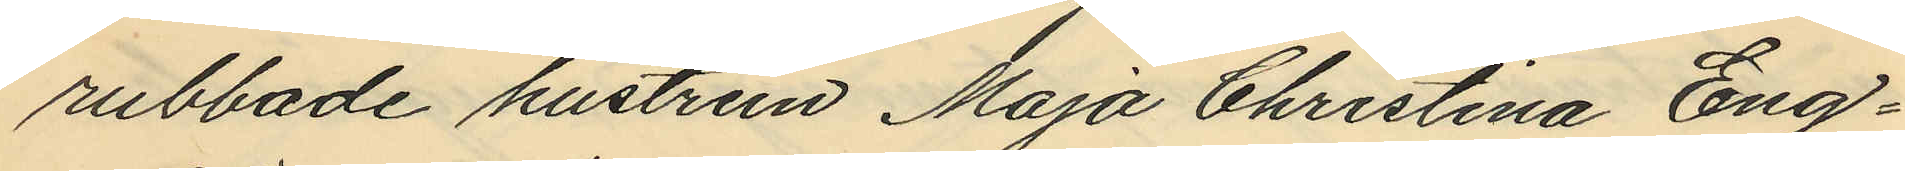rubbade hustrun Maja Christina Eng¬
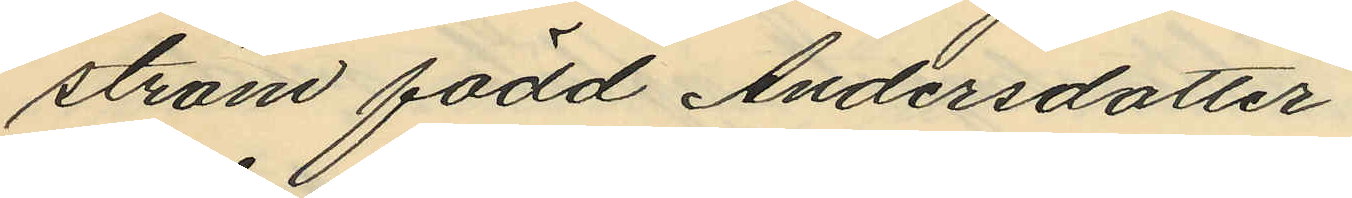ström född Andersdotter
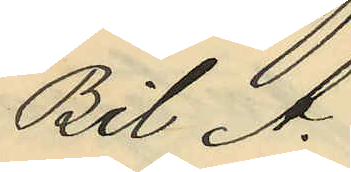Bil A.
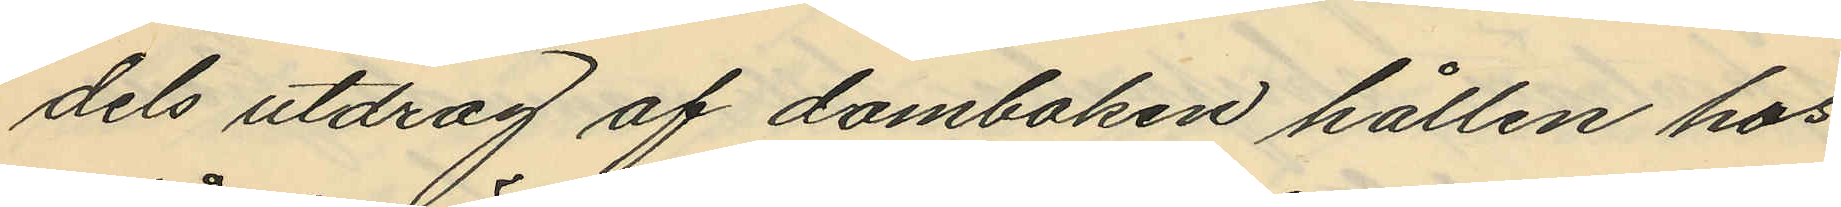dels utdrag af domboken hållen hos
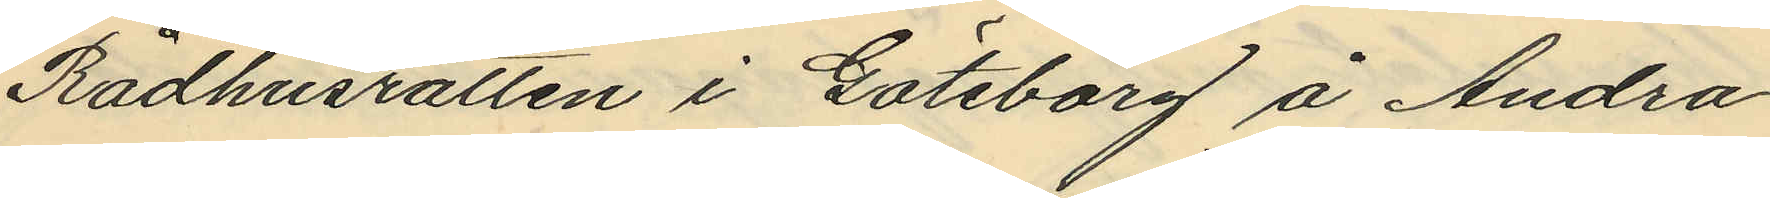Rådhusrätten i Göteborg å Andra
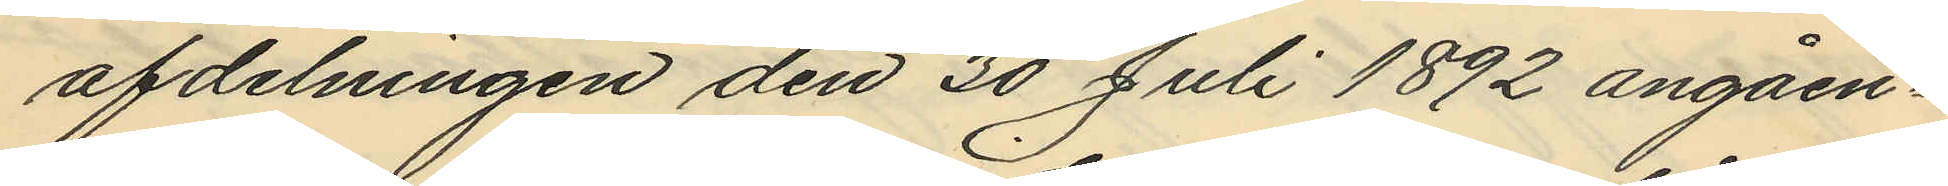afdelningen den 30 Juli 1892 angåen¬
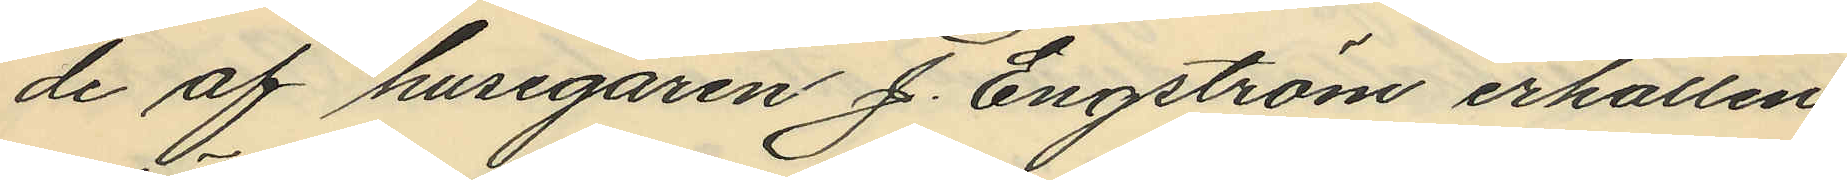de af husegaren J. Engström erhållen
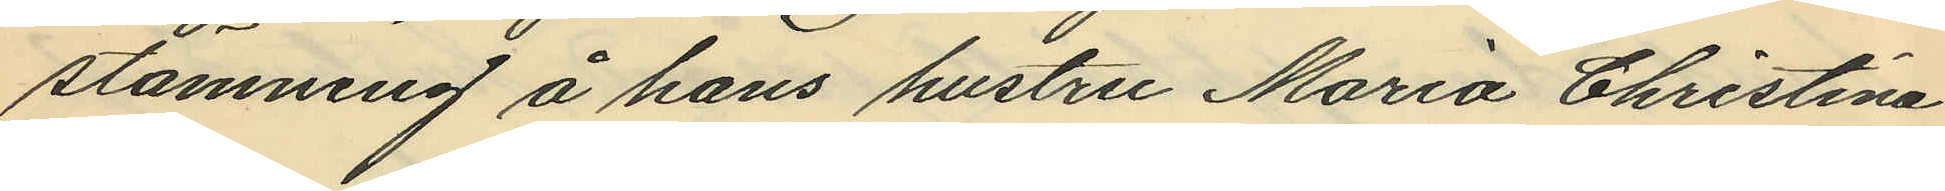stämning å hans hustru Maria Christina
